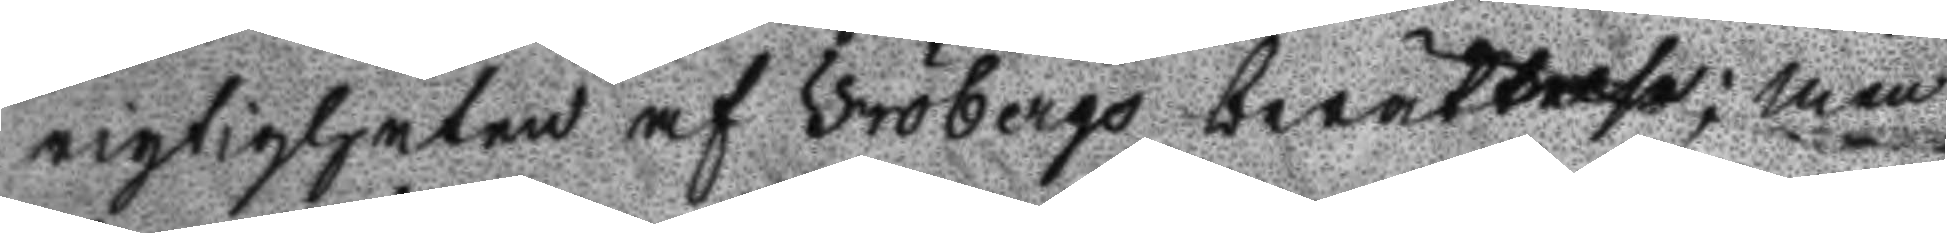rigtigheten af Fröbergs berättelse; men
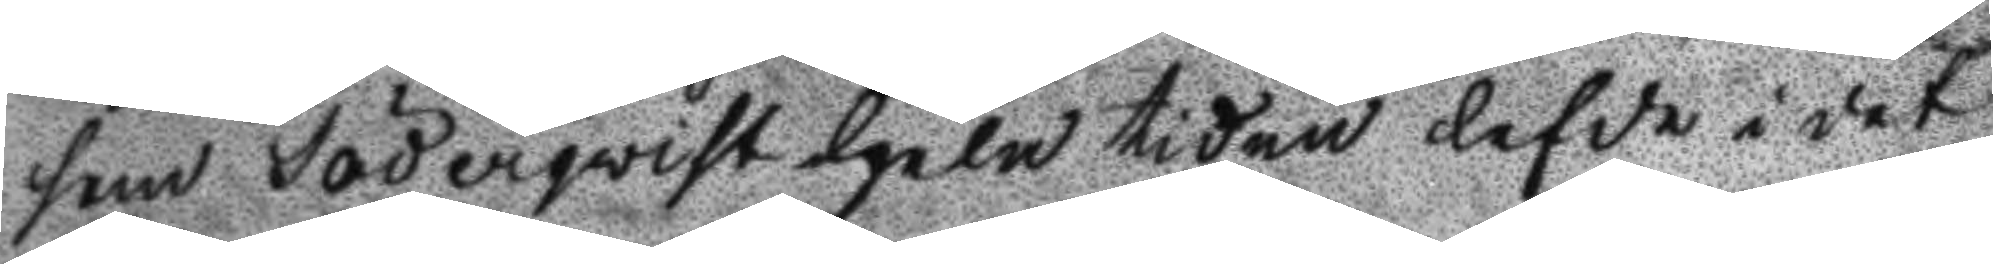som Söderqwist hela tiden lefde i det
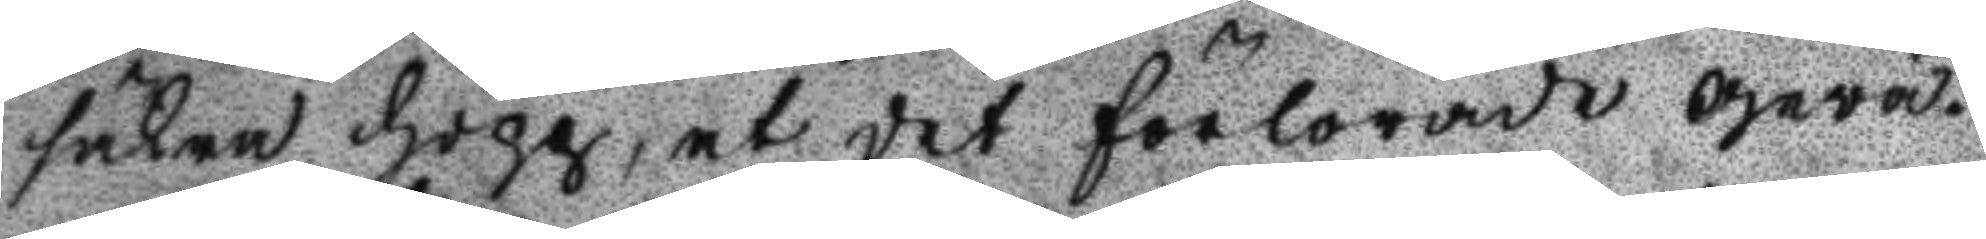säkra hopp, at det förlorade gewä¬
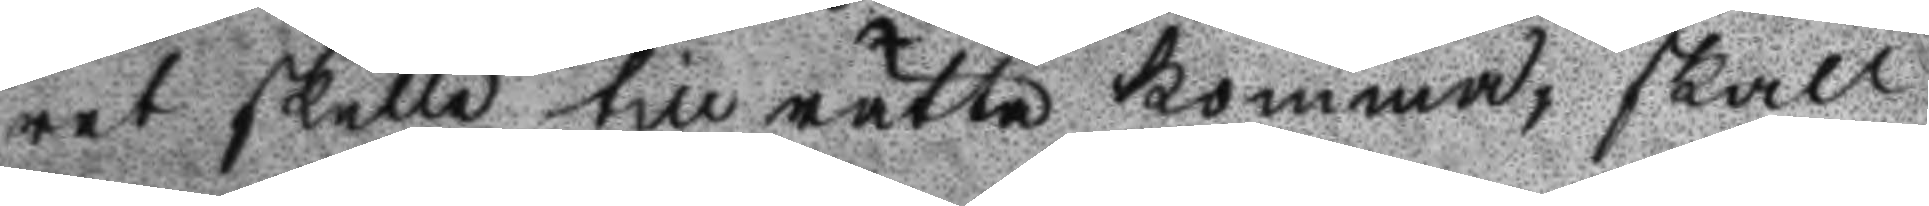ret skulle tillrätta komma, skall
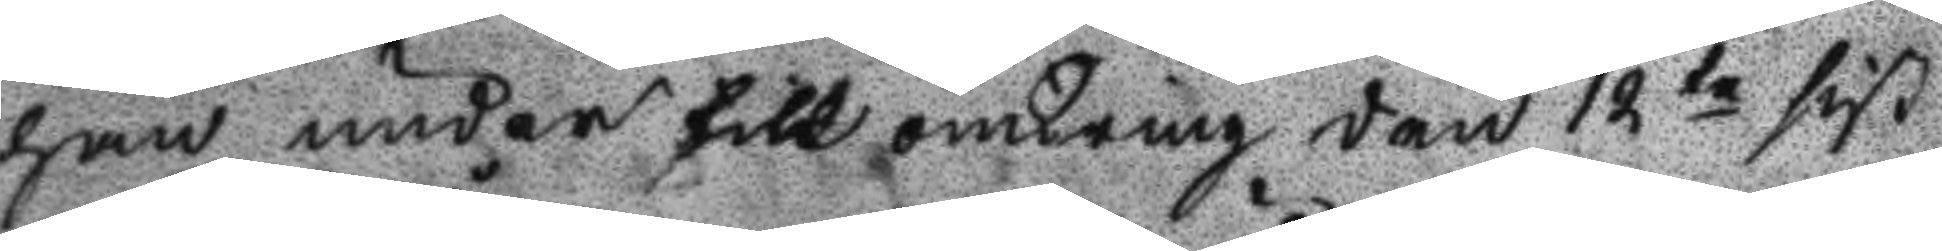han under till omkring den 12te sist
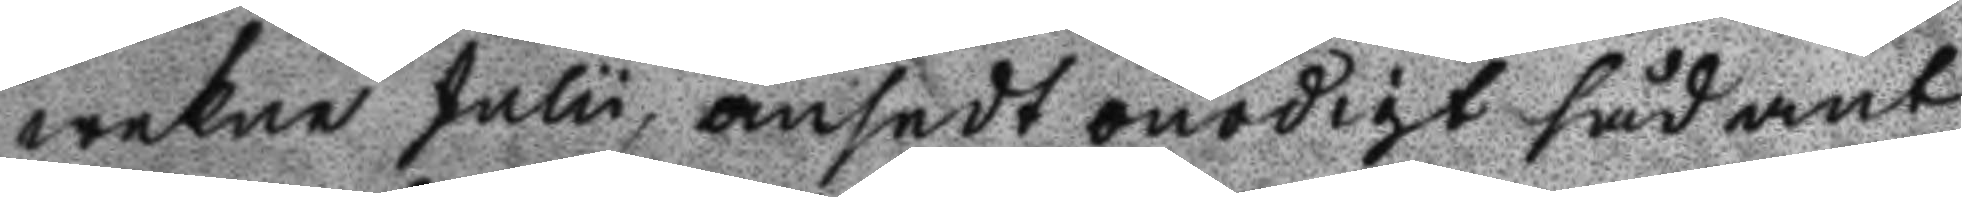wekne Julu, ansedt onödigt sådant
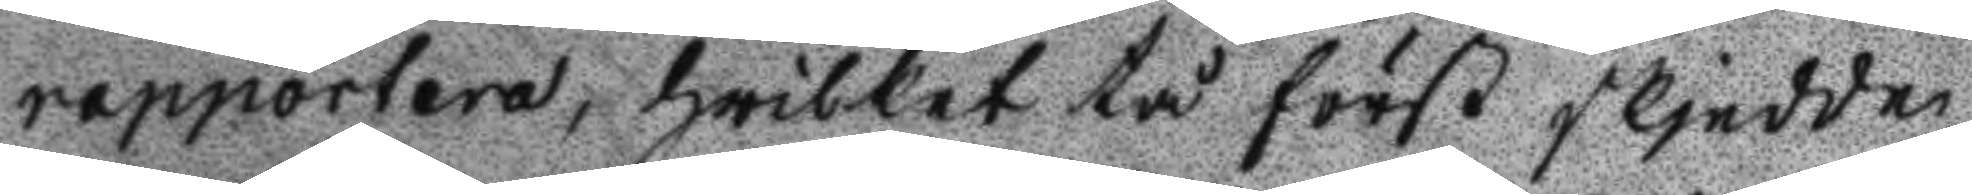rapportera, hwilket tå först skjedde
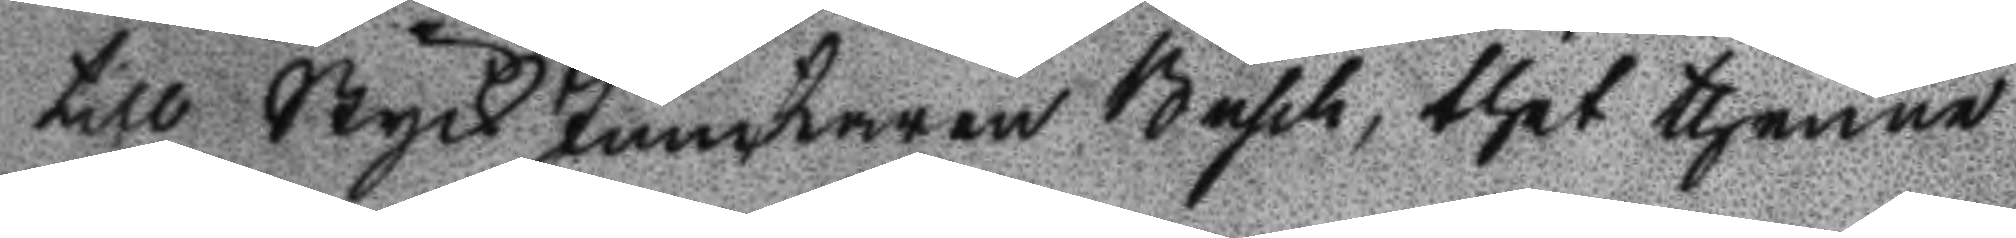till StyckJunkaren Basch, thet thenne
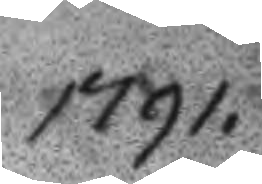1791.
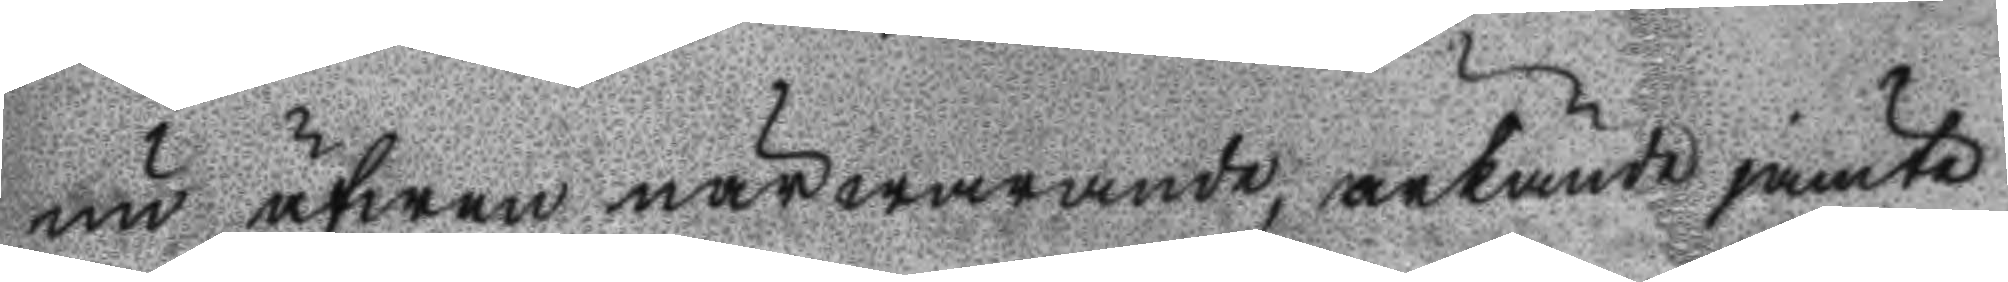nu äfwen närwarande, ärkände jämte
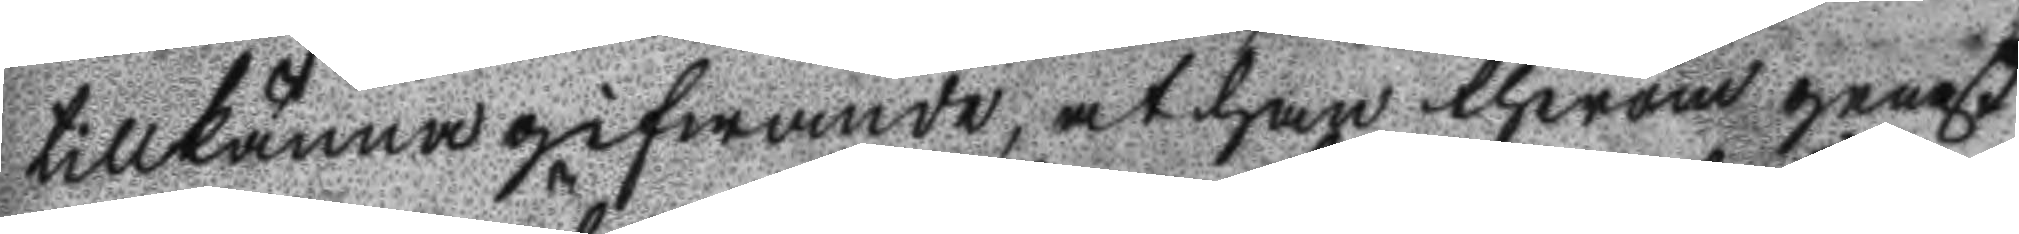tillkännagifwande, at han therom genast
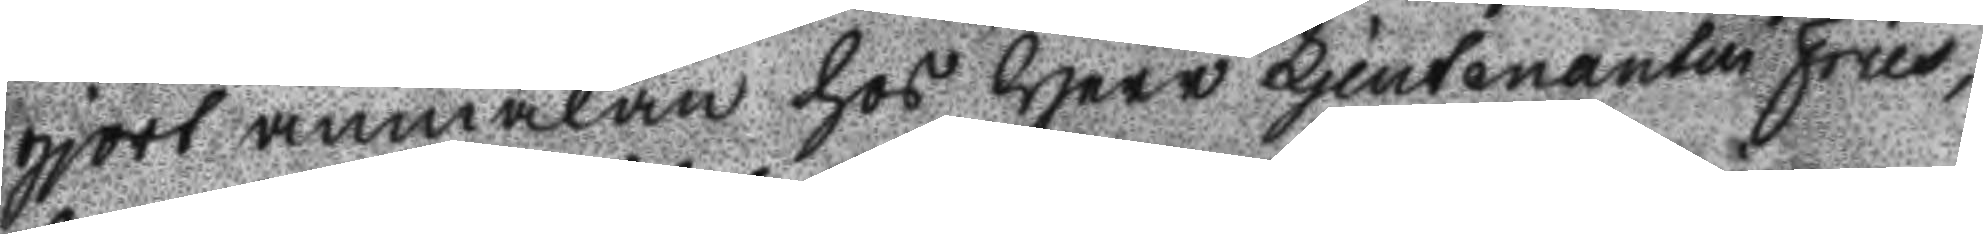gjort anmälan hos Herr Ljeutenanten Fries,
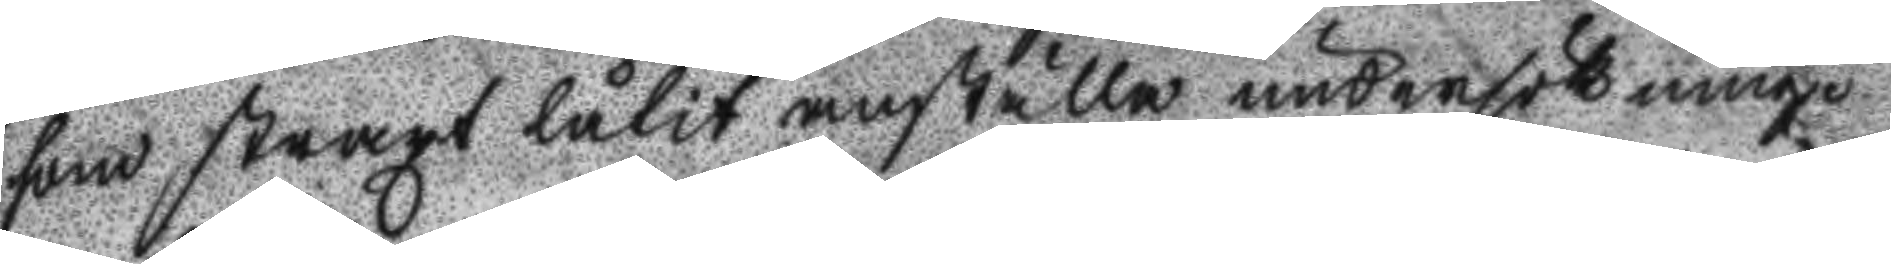som straxt låtit anställa undersökning.
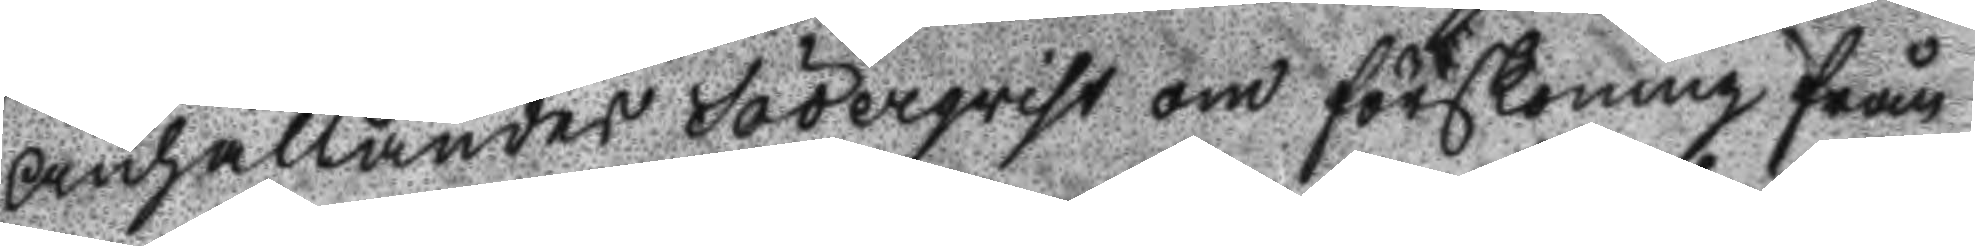Anhållandes Söderqwist om förskoning från
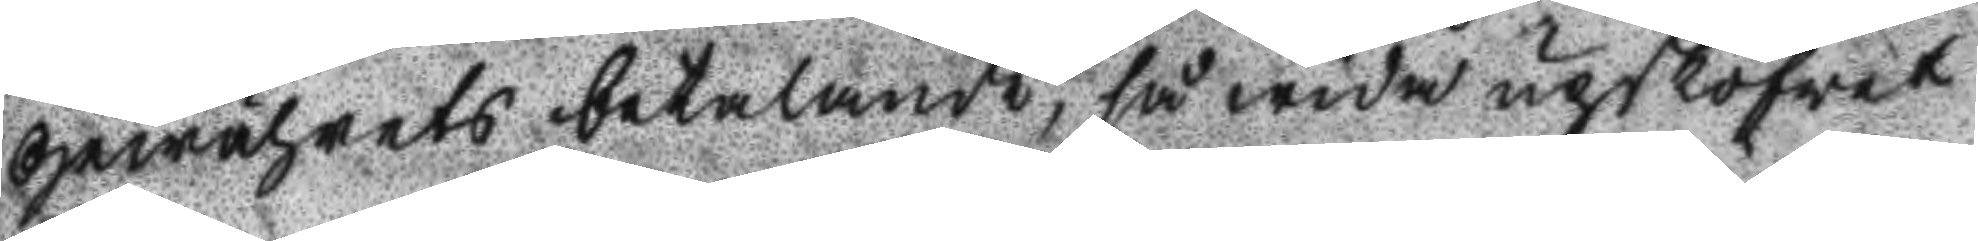Gewährets betalande, så wida upskofwet
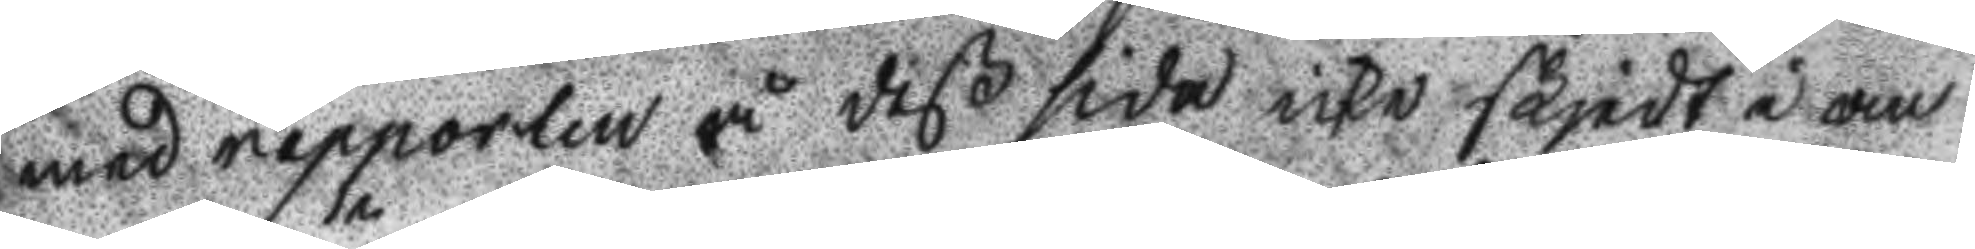med rapporten å deß sida icke skjedt i an
